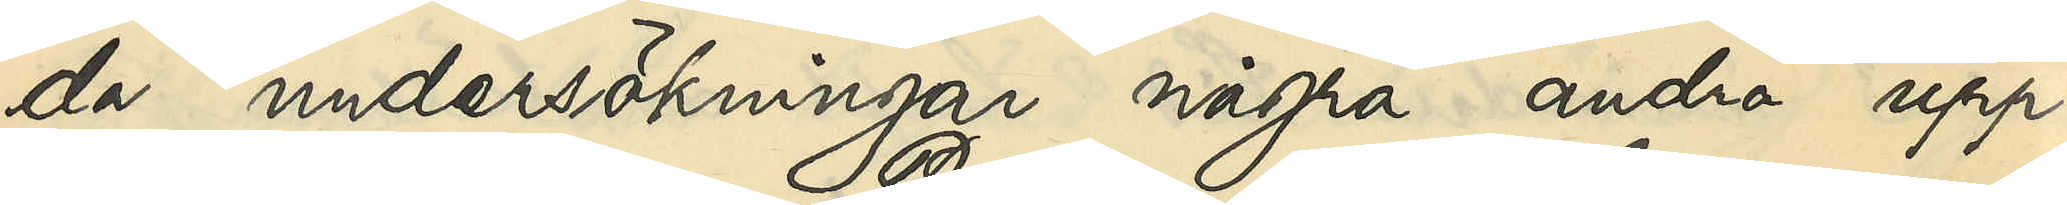da undersökningar några andra upp¬
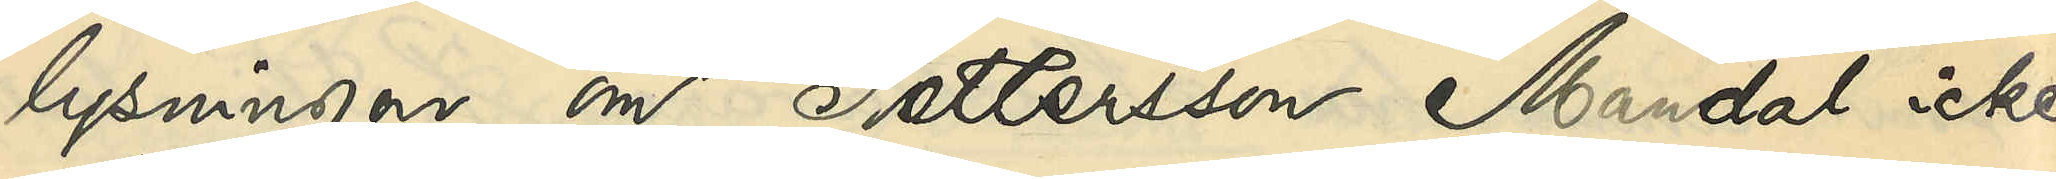lysningar om Pettersson Mandal icke
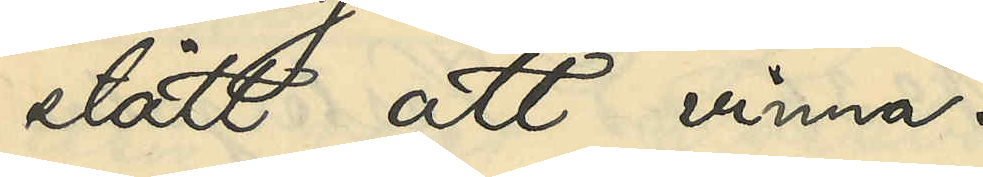stått att vinna.
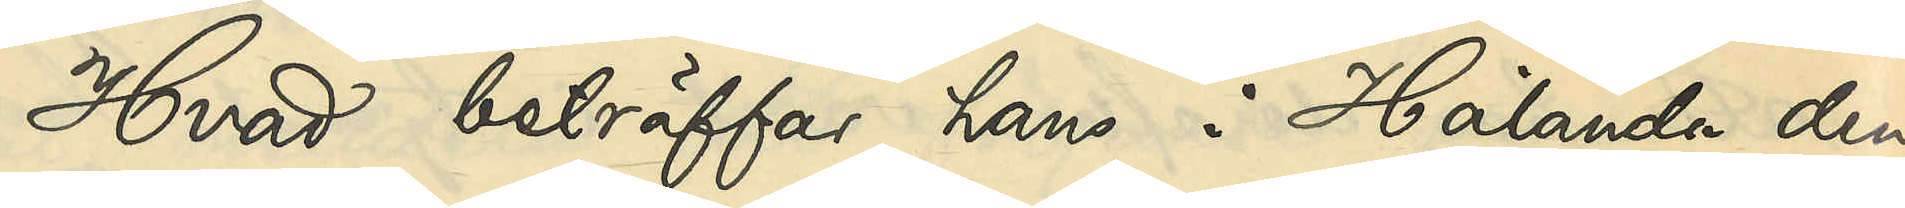Hvad beträffar hans i Hålanda den
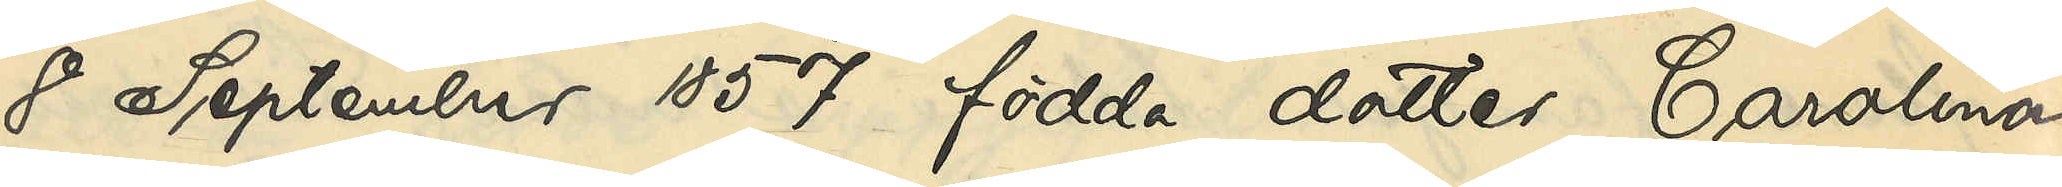8 September 1857 födda dotter Carolina
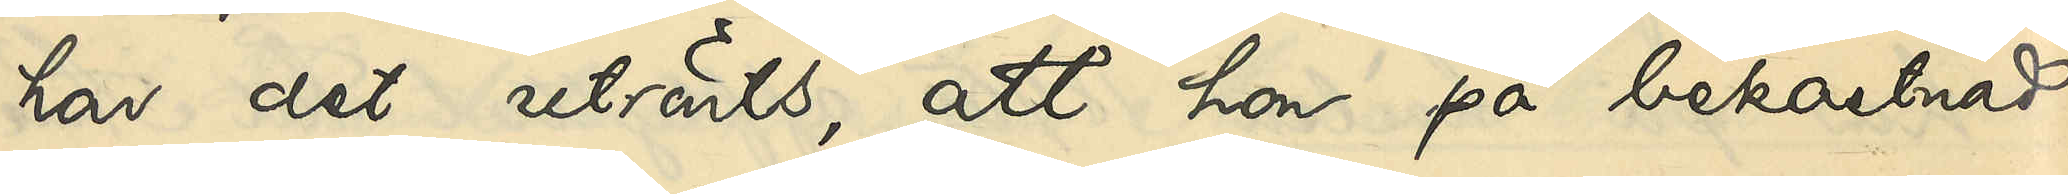har det utrönts, att hon på bekostnad
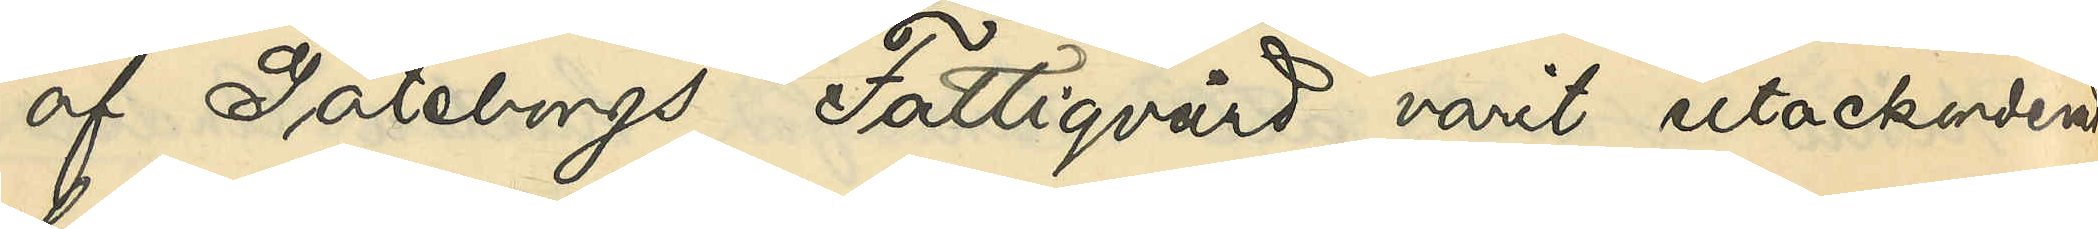af Göteborgs Fattigvård varit utackorderad
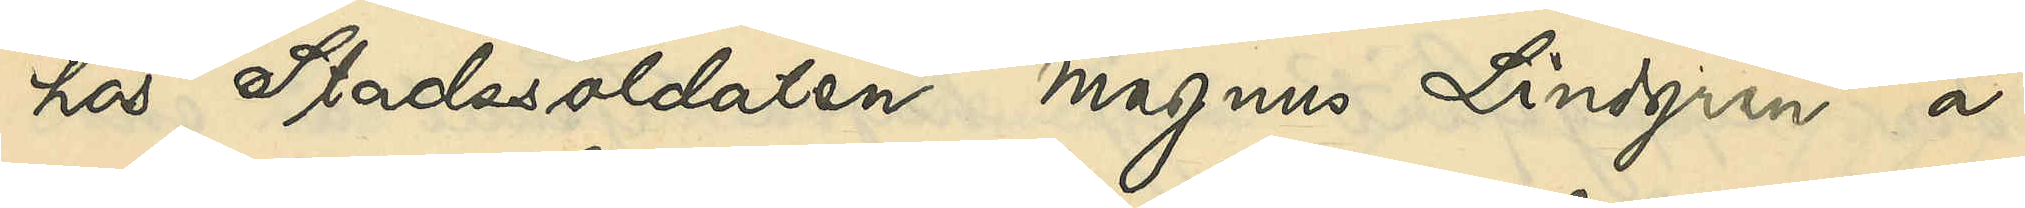hos Stadssoldaten Magnus Lindgren å
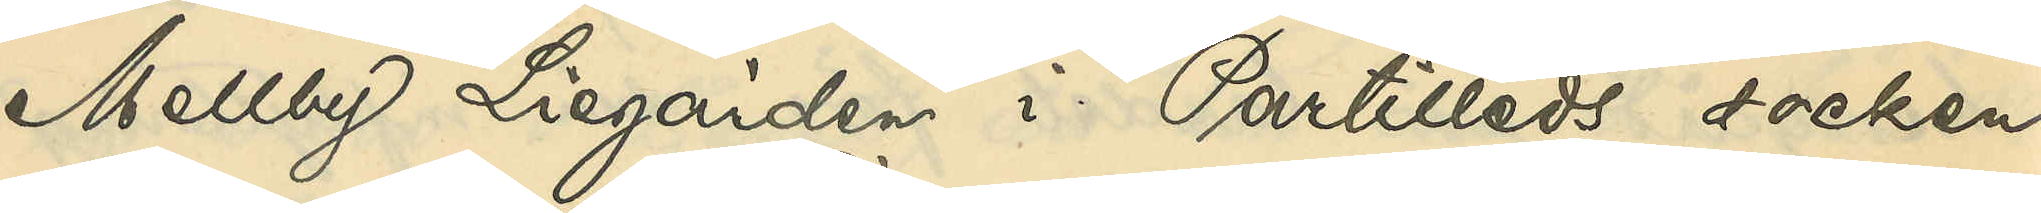Mellby Liegård i Partilleds socken
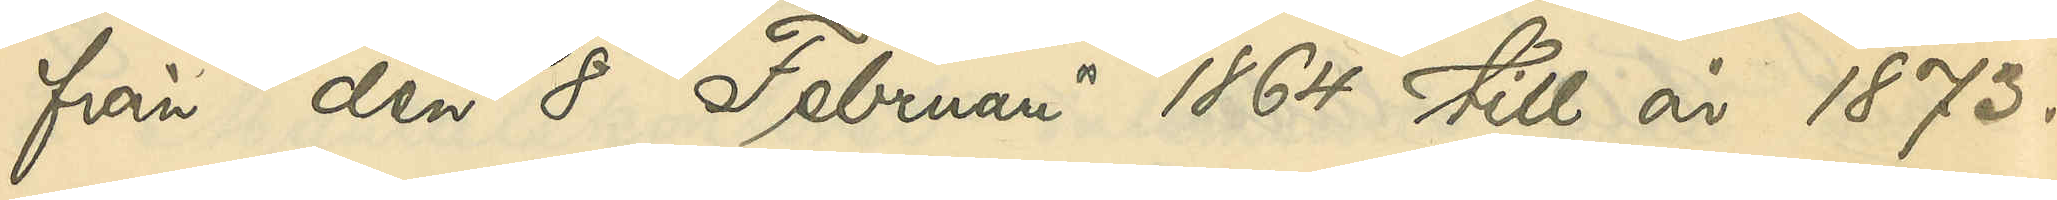från den 8 Februari 1864 till år 1873.
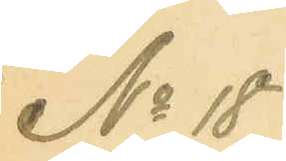No 18
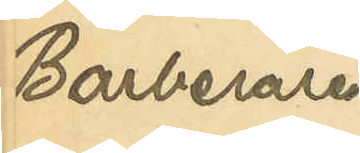Barberaren
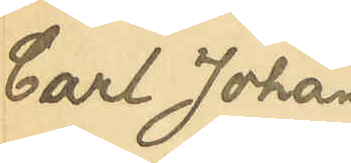Carl Johan
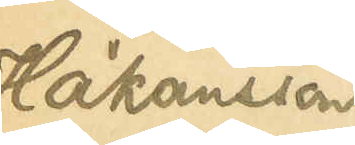Håkansson
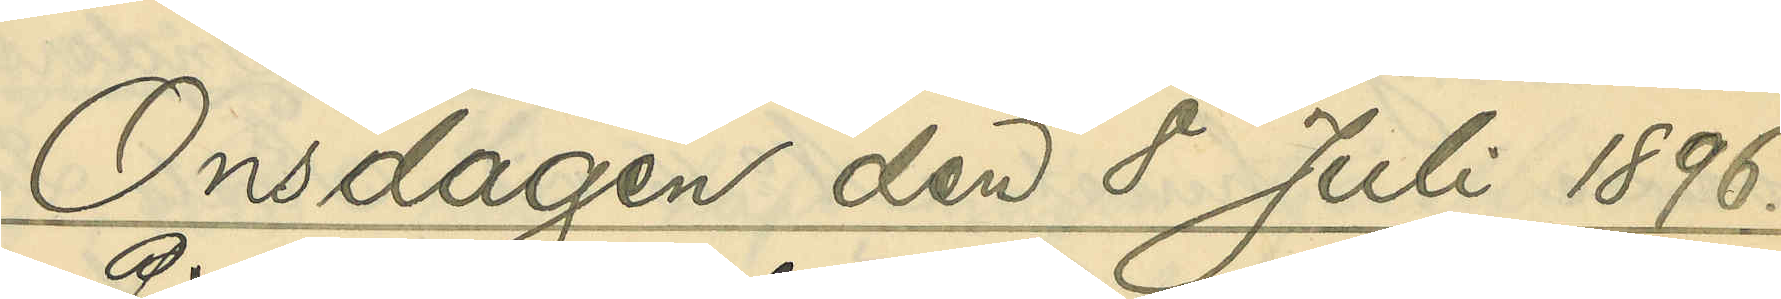Onsdagen den 8 Juli 1896.
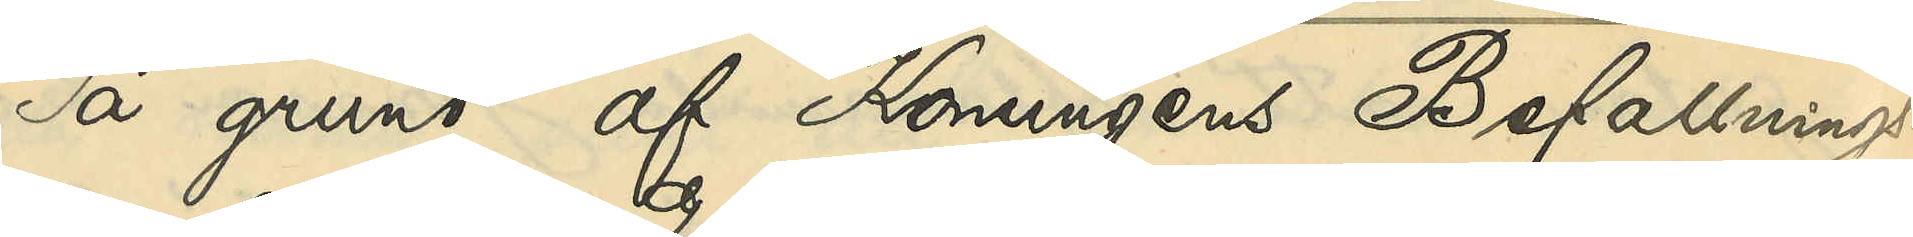På grund af Konungens Befallnings¬
